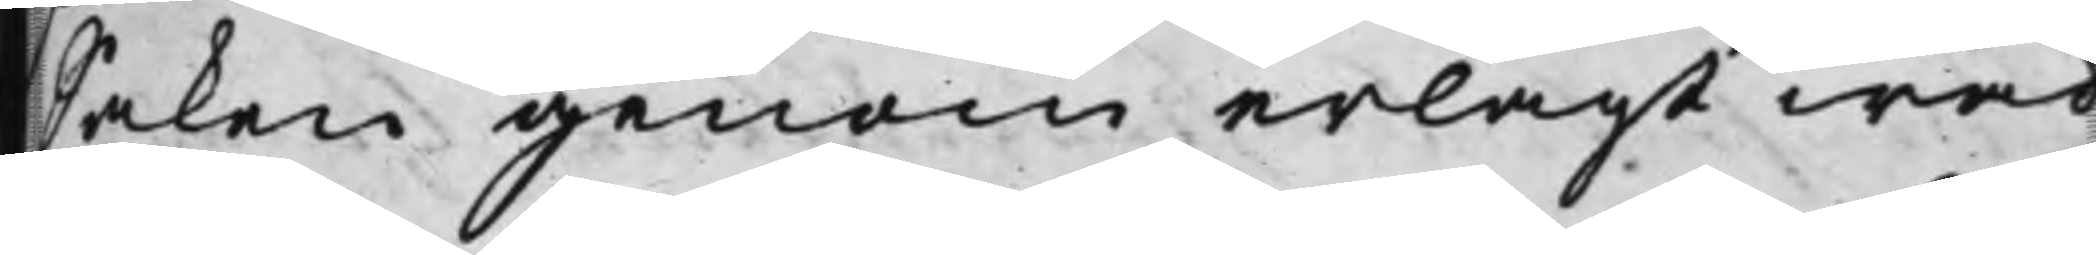saken genom erlagt wad
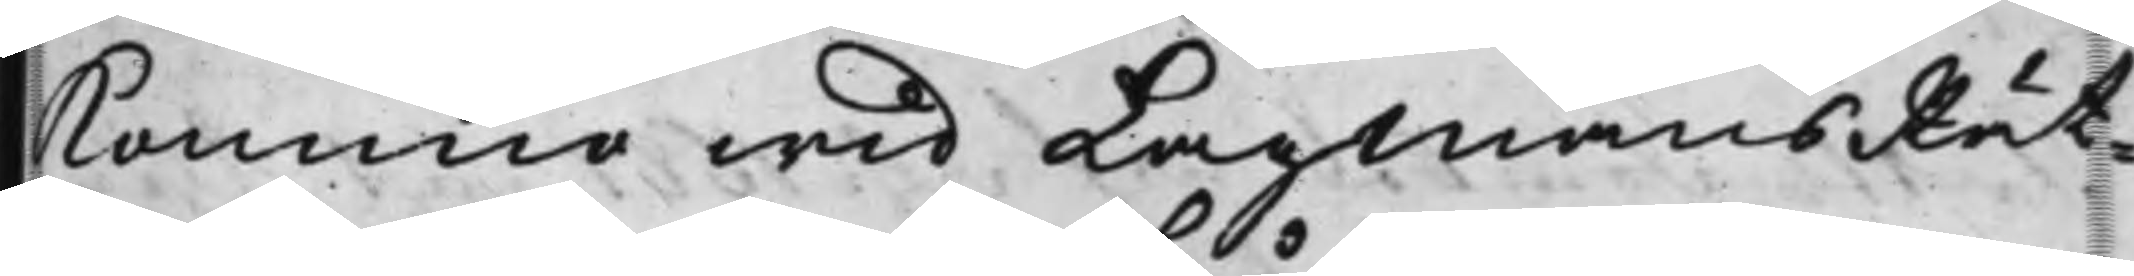Komma wid LagmansRät¬
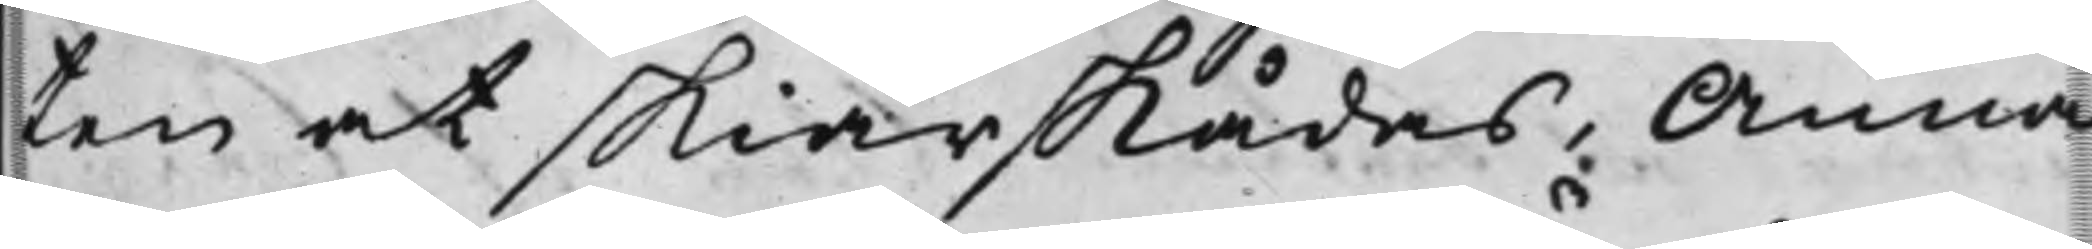ten at skiärskådas, Anna
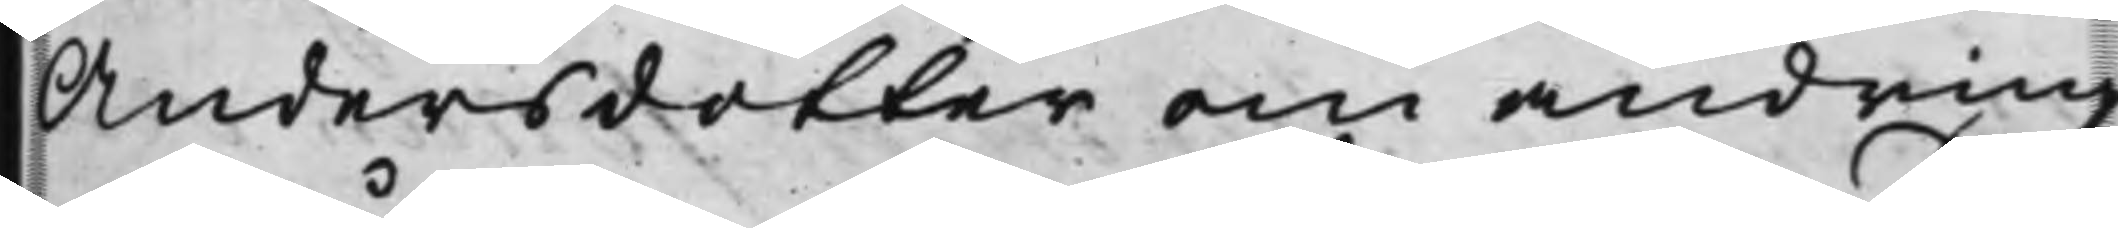Andersdotter om ändring
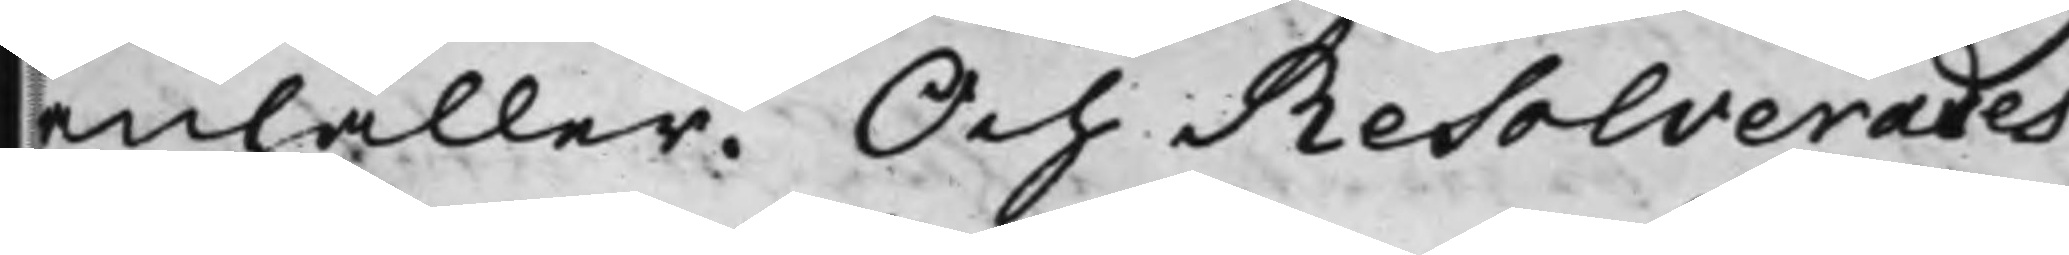anhåller. Och Resolverades
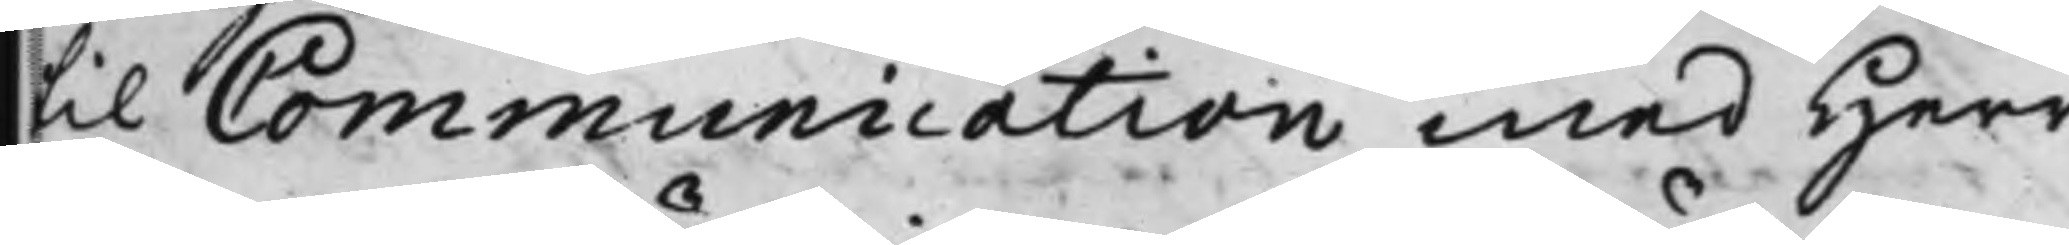til Communication med Herr
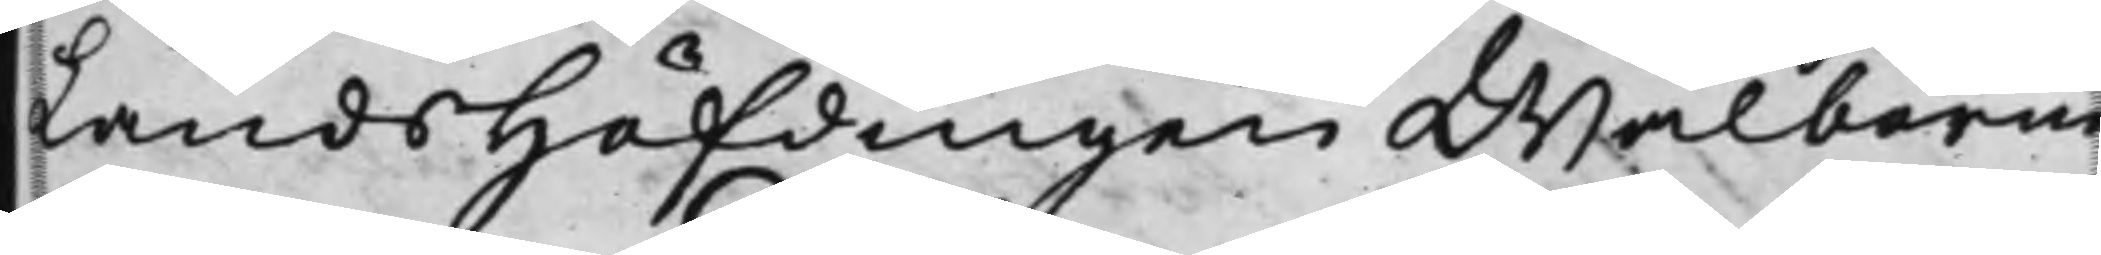LandsHöfdingen Wälborne
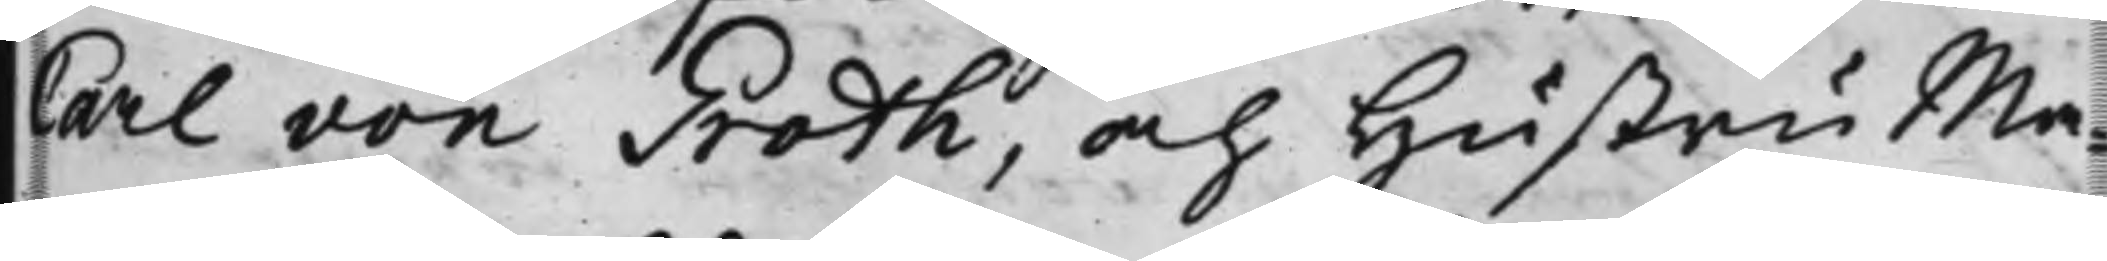Carll von Groth, och Hustru Ma¬
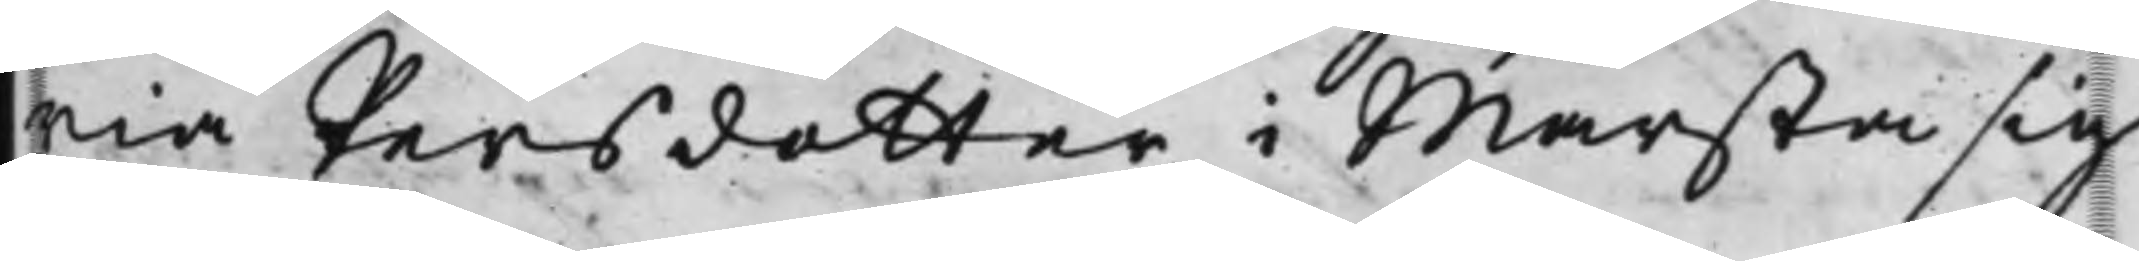ria Persdotter i Marsta sig
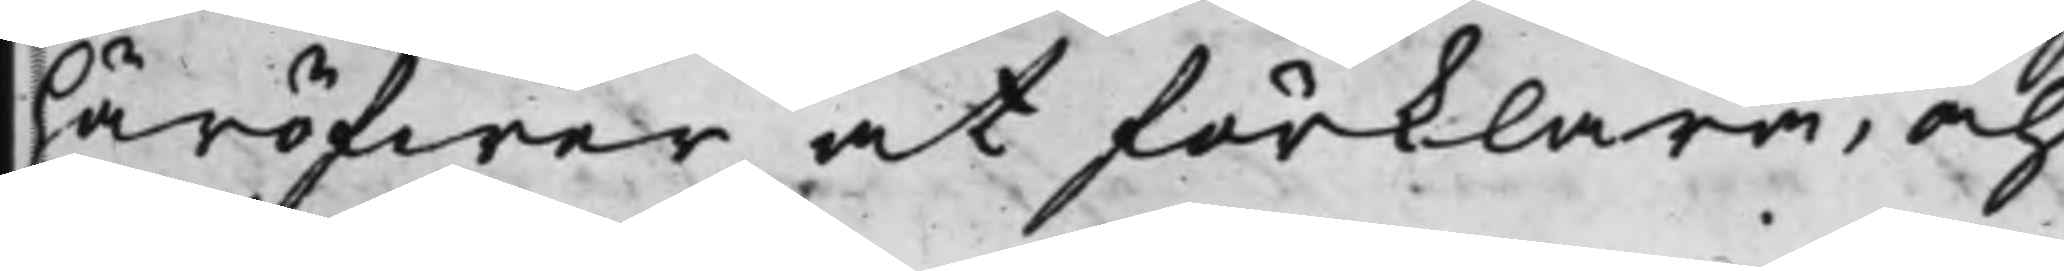häröfwer at förklara, och
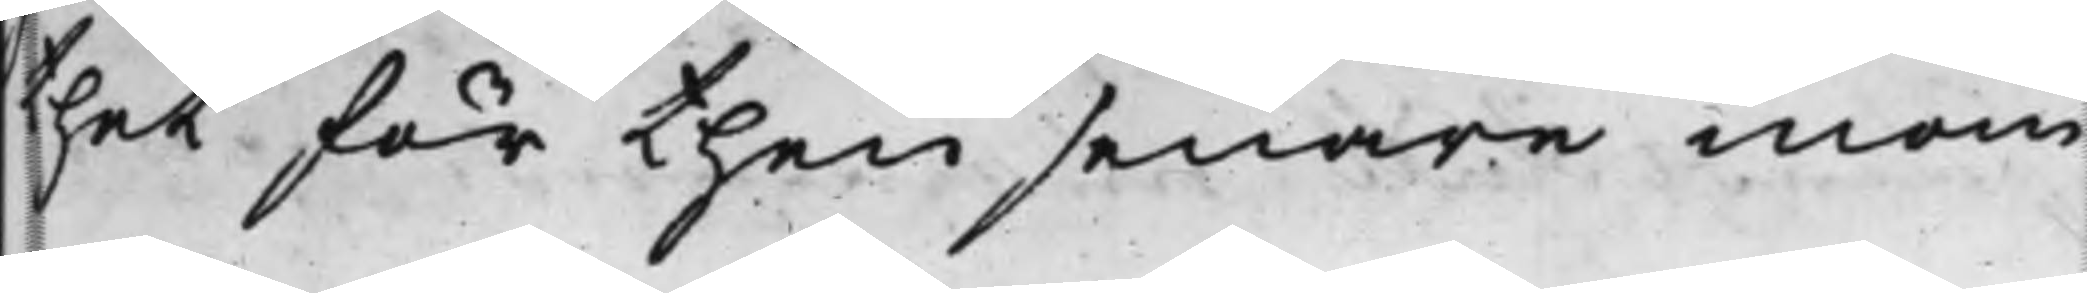thet för then senare inom
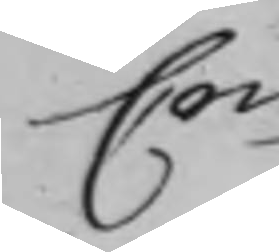Crim
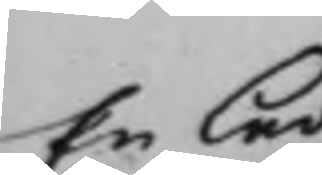En leda¬
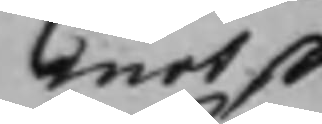mot skal
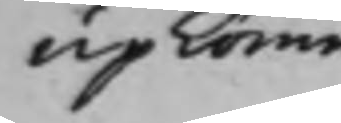upkomma.
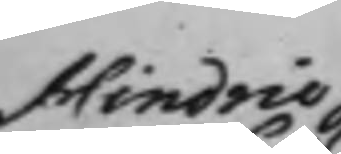Hindric Joh
